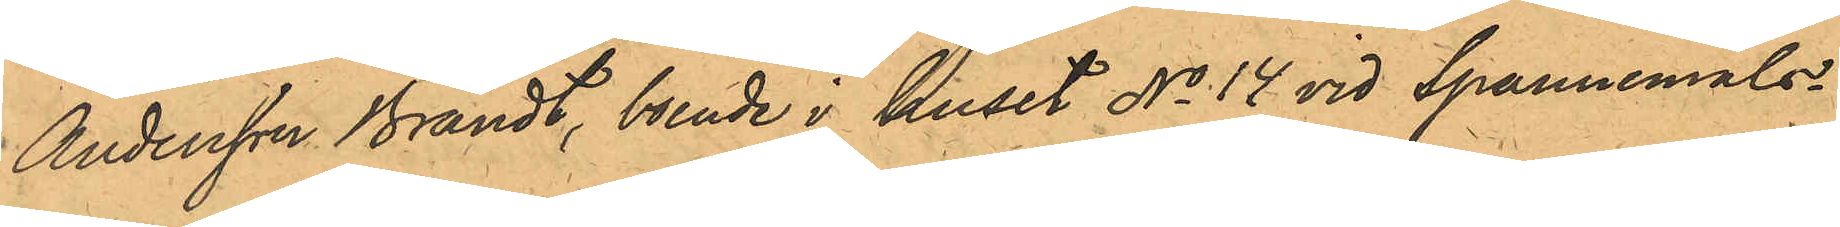Andersson Brandt, boende i huset No 14 vid Spannemåls¬
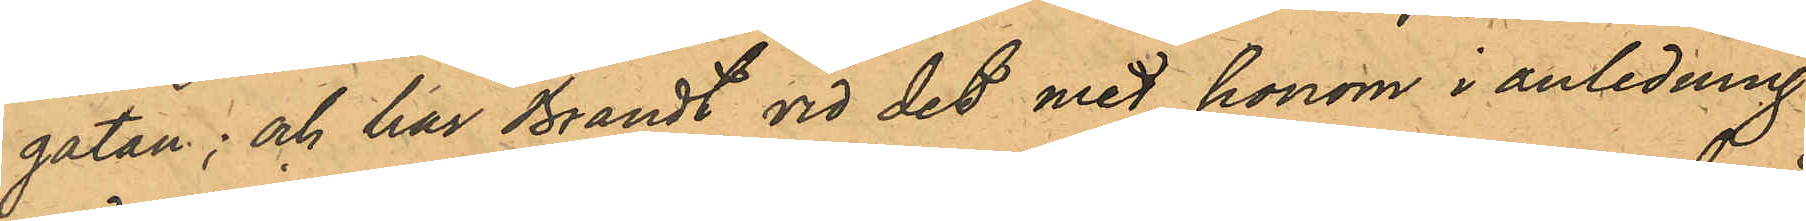gatan; och har Brandt vid det med honom i anledning
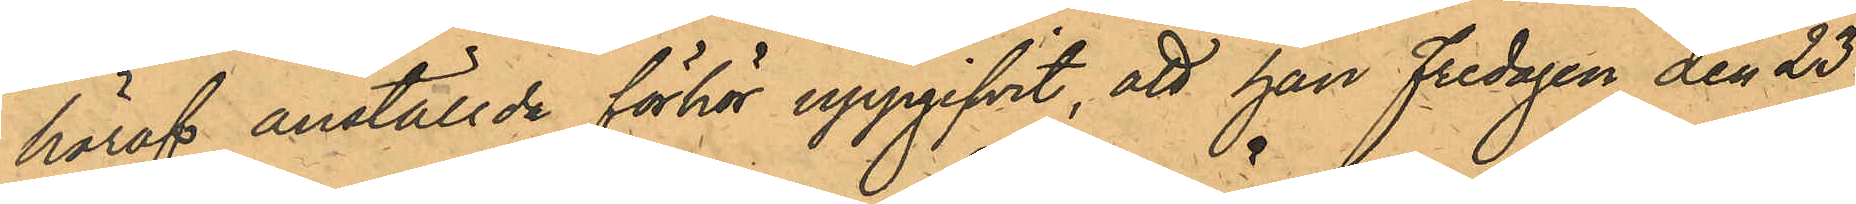häraf anställde förhör uppgifvit, att han fredagen den 23
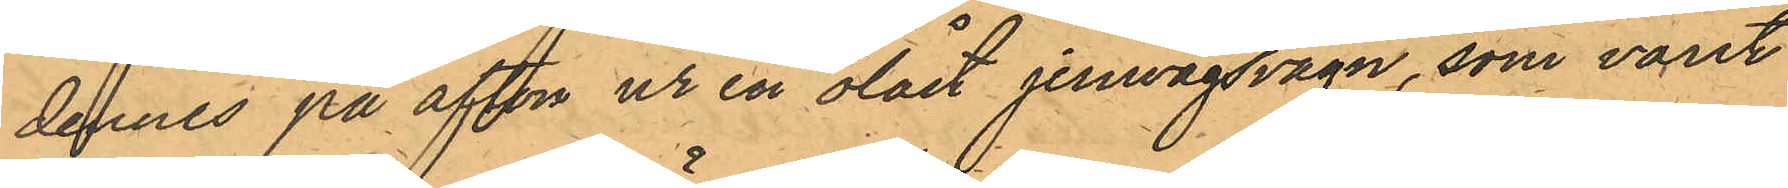dennes på afton ur en olåst jernvägsvagn, som varit
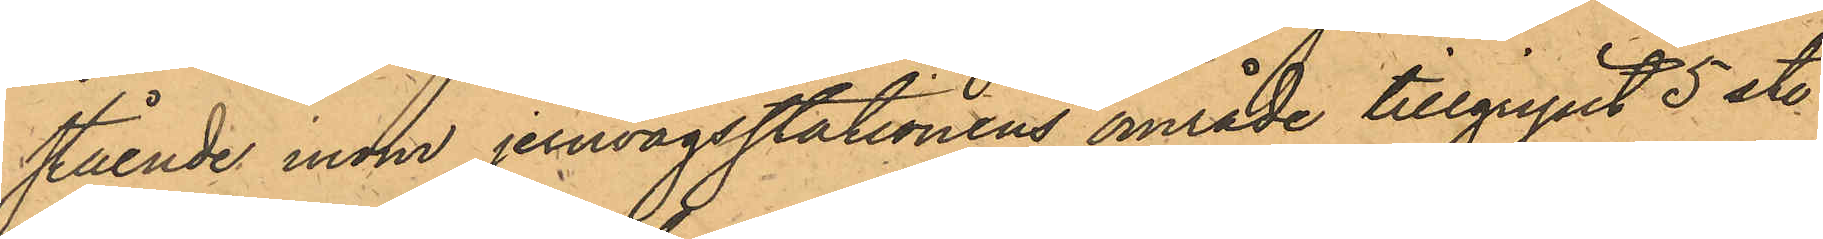stående inom jernvägsstationens område tillgripit 5 st.
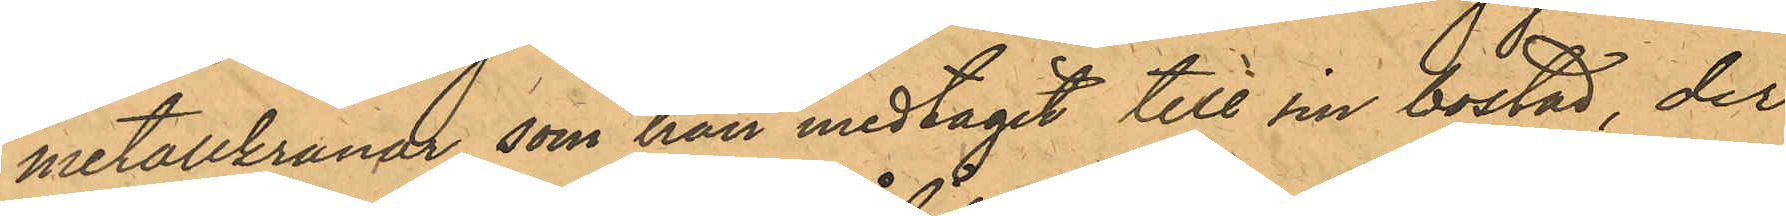metallkranar, som han medtagit till sin bostad, der
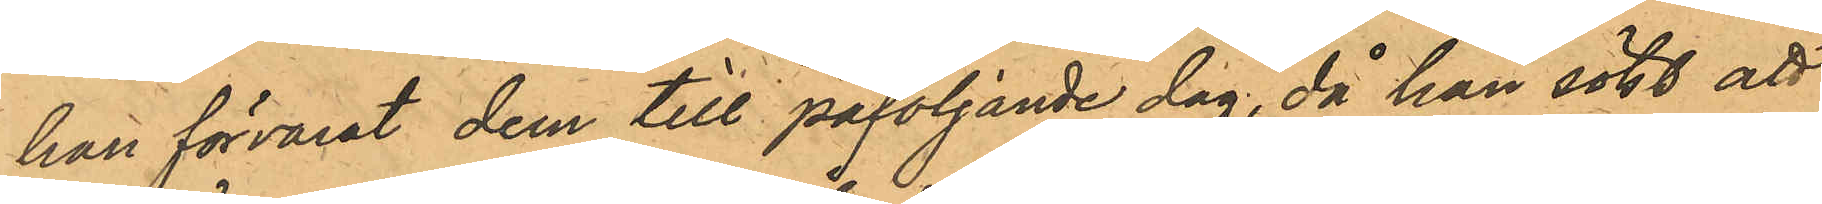han förvarat dem till påföljande dag, då han sökt att
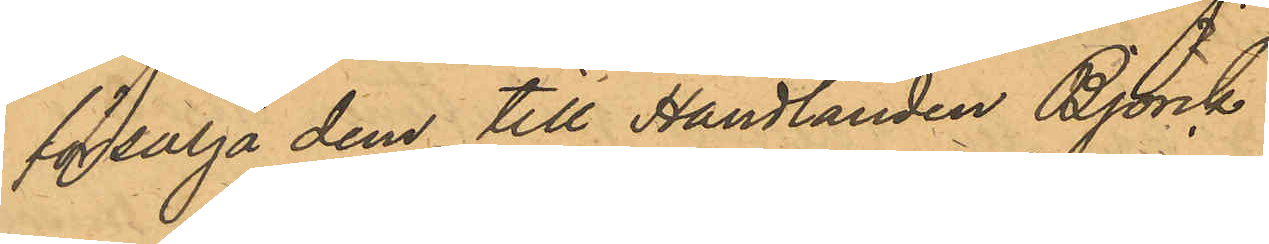försälja dem till Handlanden Björck.
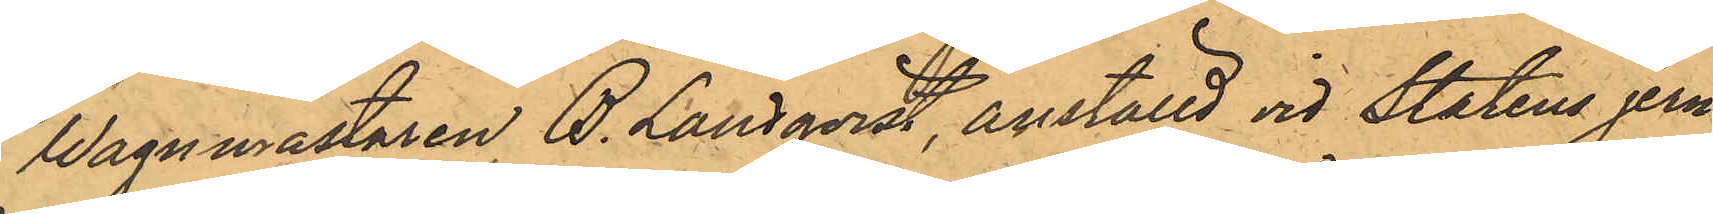Wagnmästaren B. Landqvist, anställd vid Statens jern¬
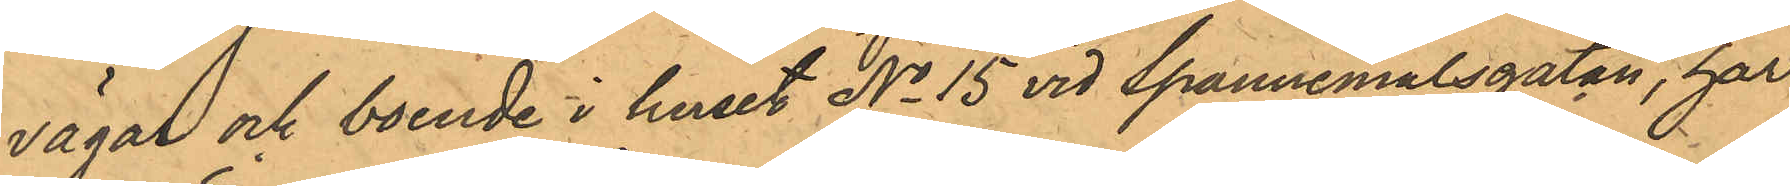vägal och boende i huset No 15 vid Spannemålsgatan, har
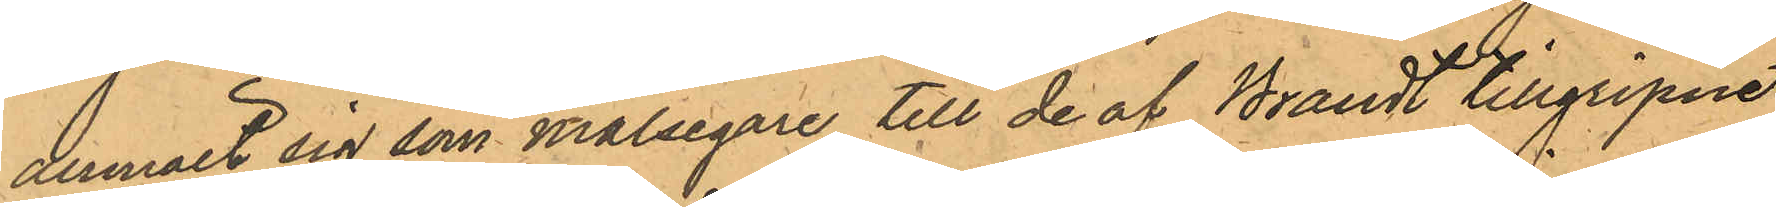anmält sig som Målsegare till de af Brandt tillgripne
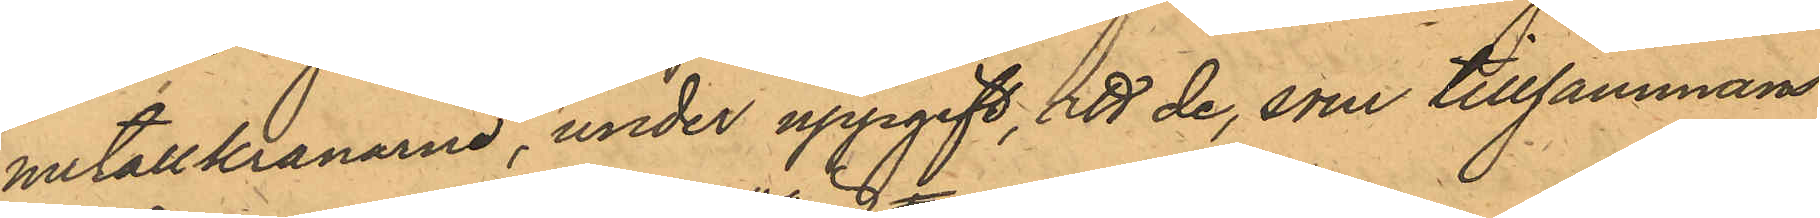metallkranarne, under uppgift, att de, som tillsammans
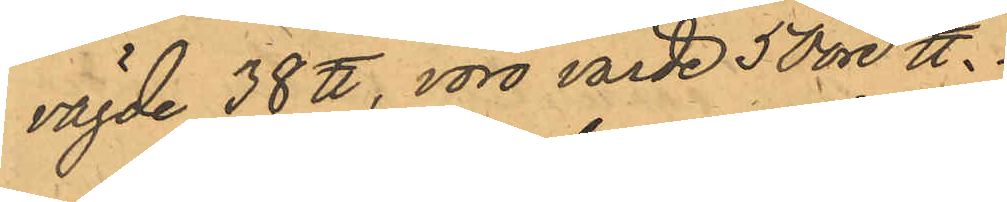vägde 38 ℔, voro värde 50 öre ℔.
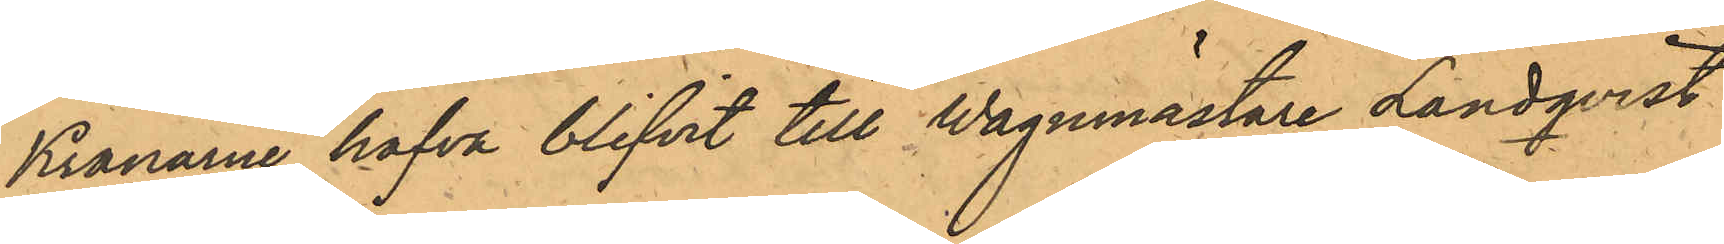Kranarne hafva blifvit till Wagnmästare Landqvist
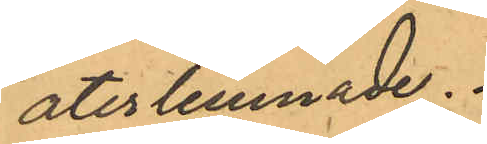återlemnade.
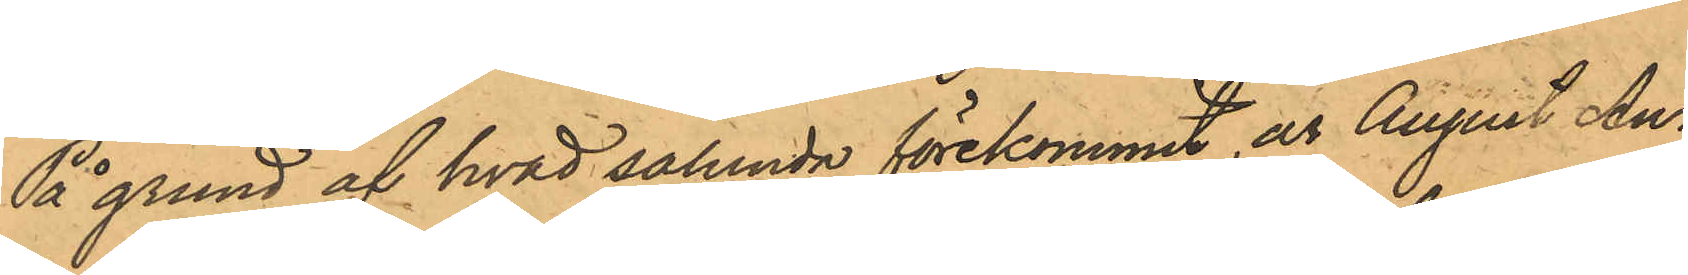På grund af hvad sålunda förekommit, är August An¬
